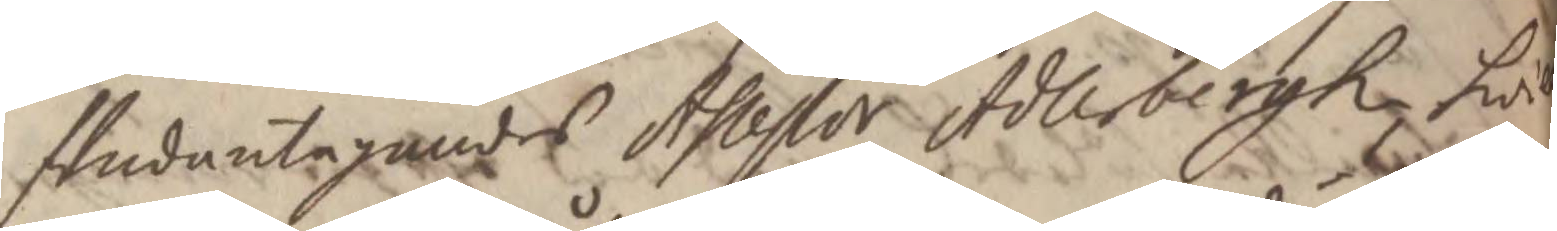/ Undantagandes Assessor Adlerbergh, hwil
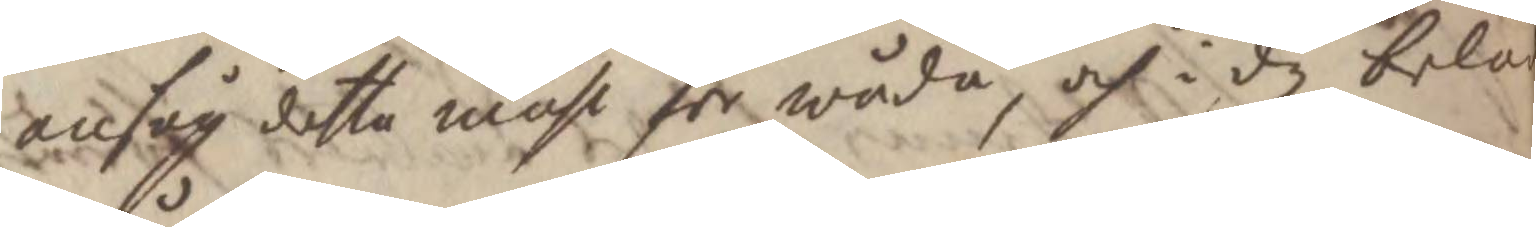ansåg detta måhl för wåda, och i dy beläg¬
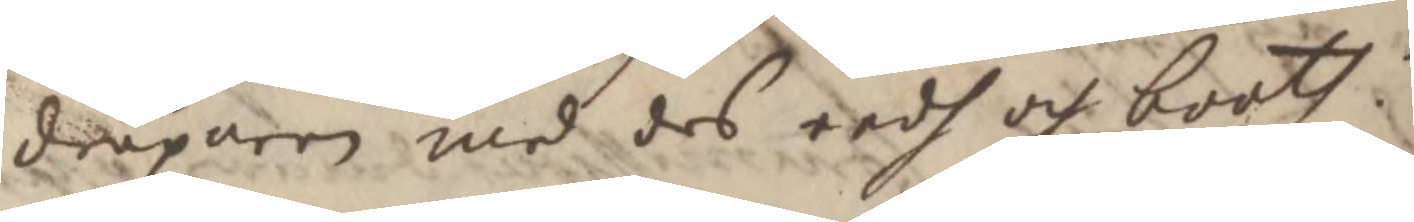dråparen med des eedh och booth.
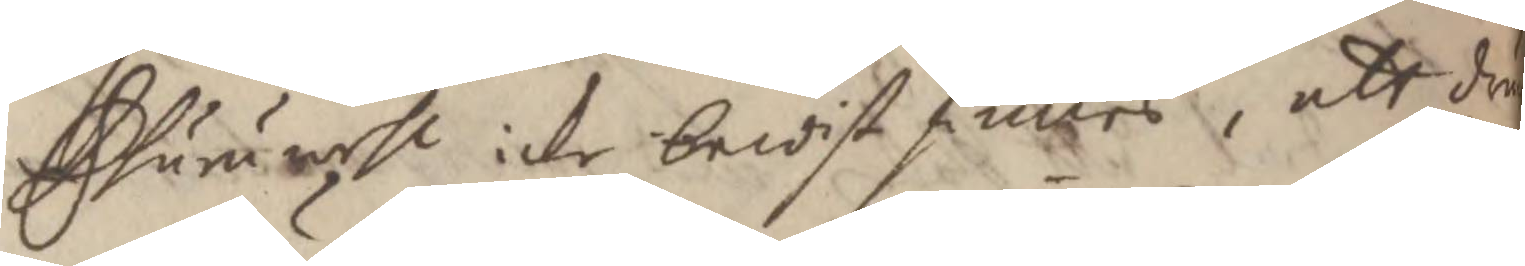Ehuruwehl icke bewist finnes, att drä¬
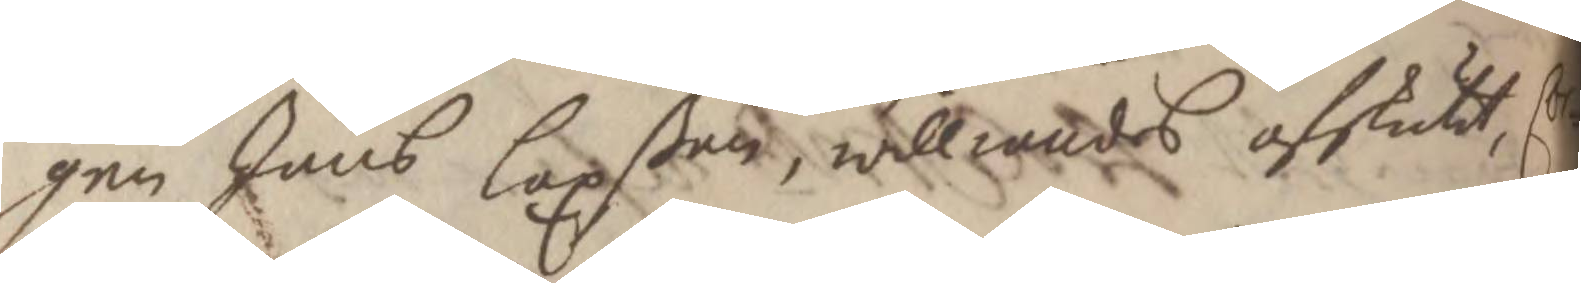gen Jöns Laxßon, williandes afskutit, Cor¬
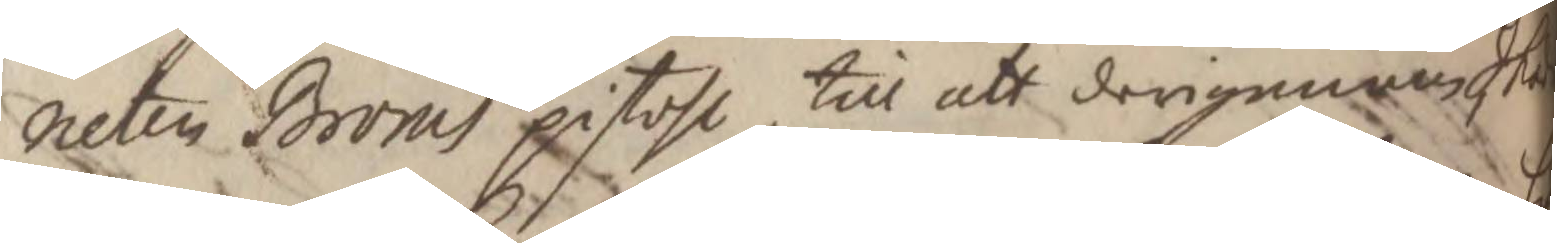neten Broms pistohl till att derigenom Sku
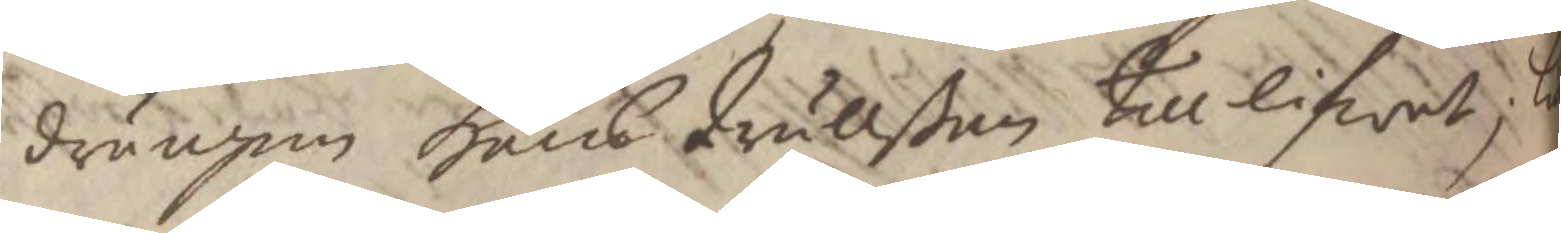drängen Hans Trullßon till lifwet, l
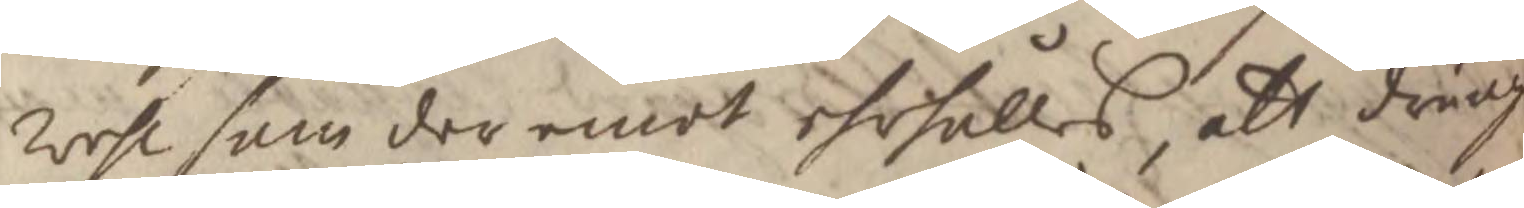Wehl som der emot ehrhålles, att dräng
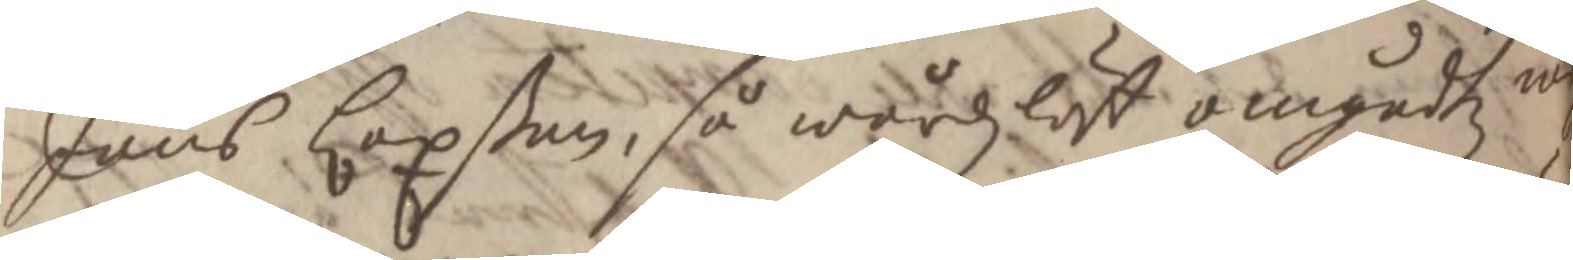Jöns Laxßon, så wårdzlåst omgåedtz m
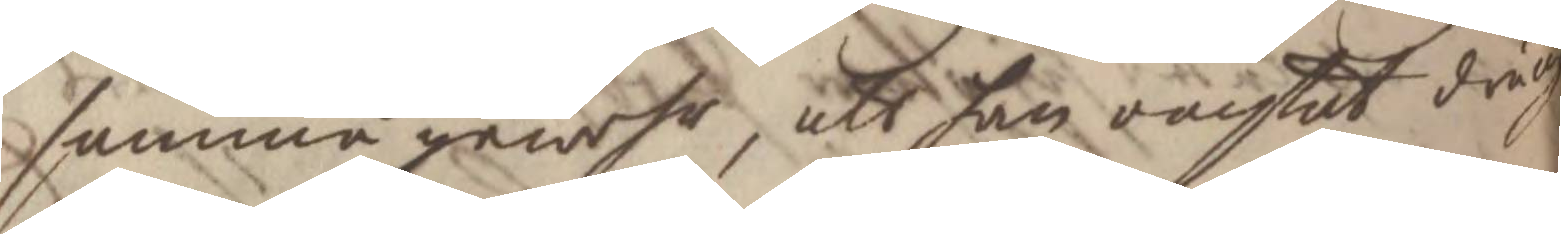samma gewehr, att han oachtat dräng
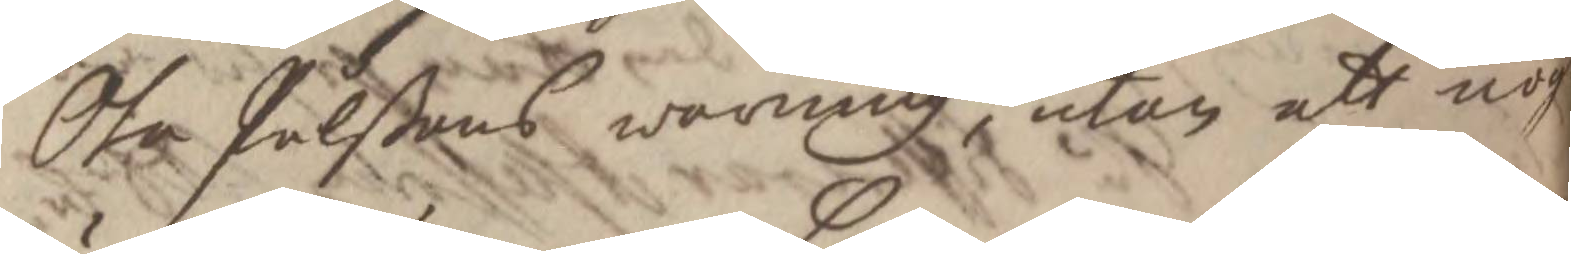Ola Pålßons warning, utan att nog
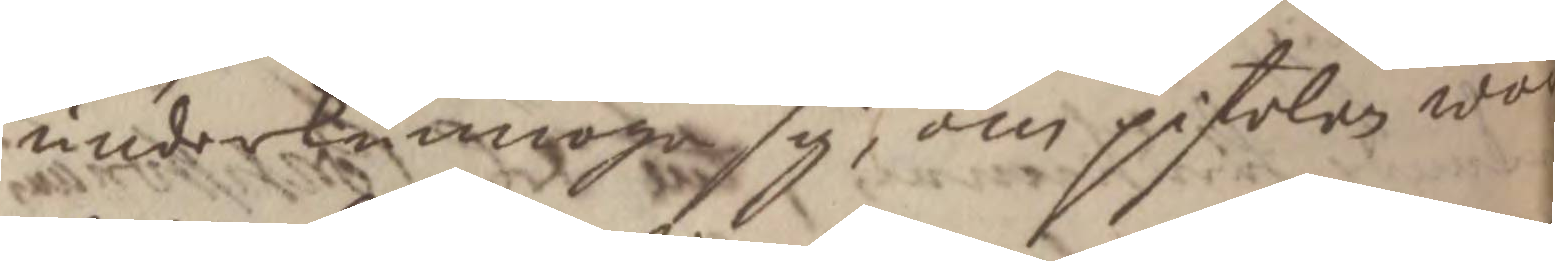underkunnoga sig, om pistolen wor
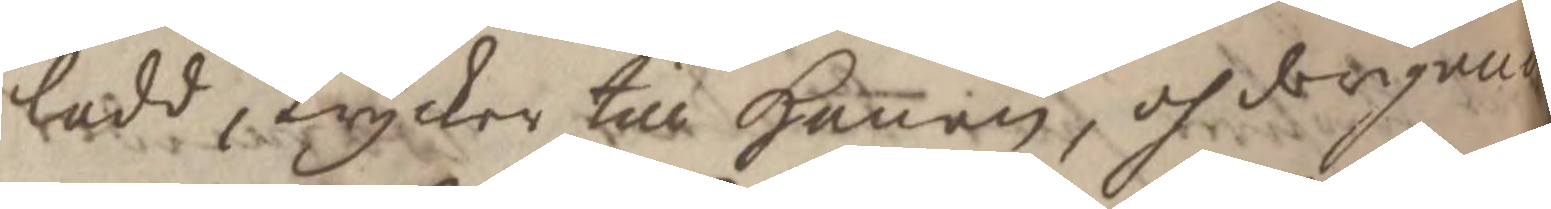ladd, trycker till Hanen, och derigenom
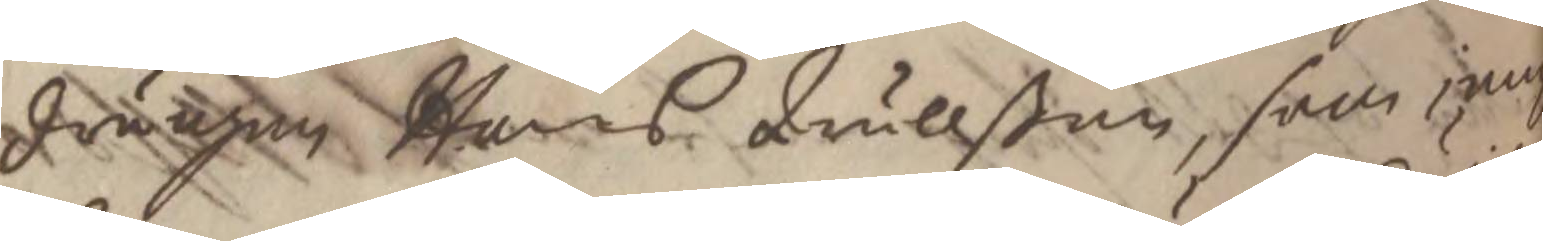drängen Hans Trullßon, som jemt
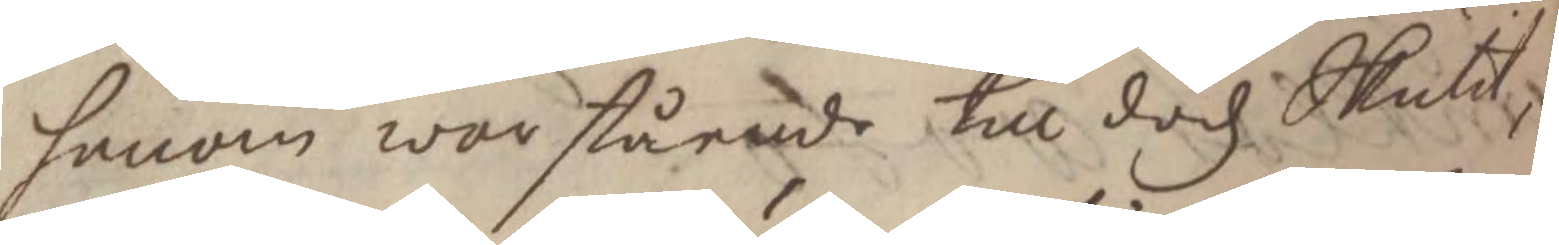honom war stående till dödz Skutit, S
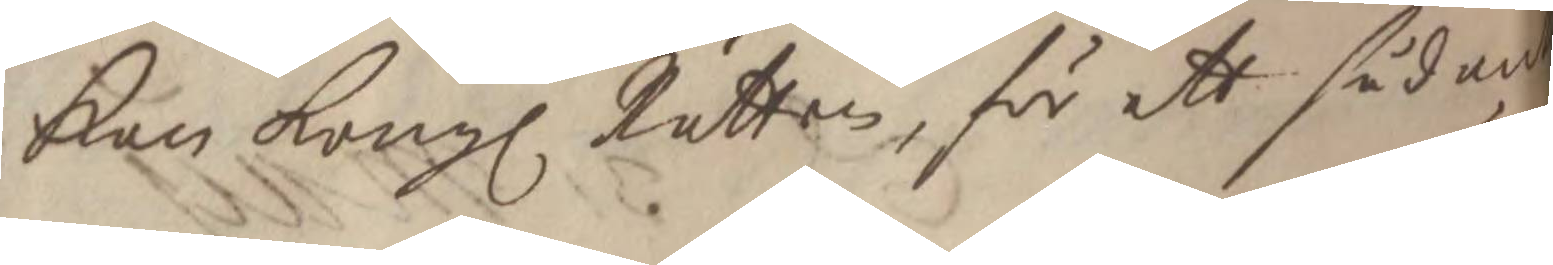Kan Kong. Rätten, för ett sådant
